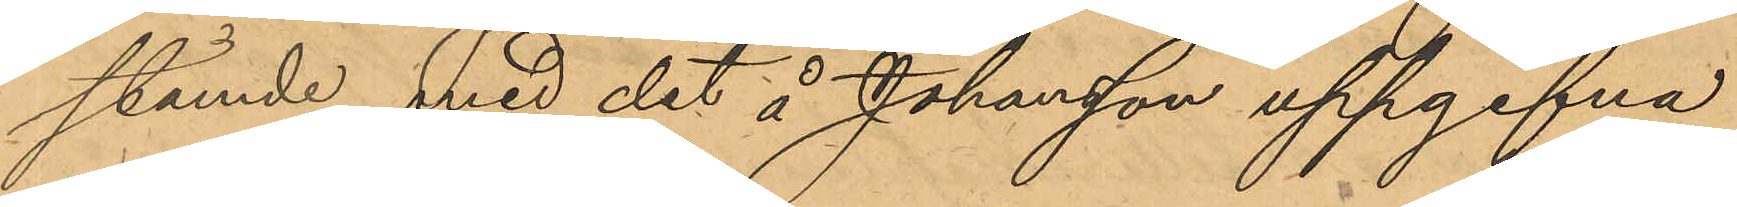stämde med det å Johansson uppgifna
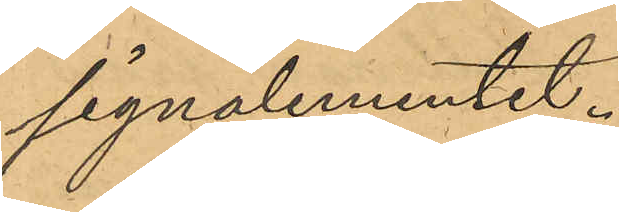signalementet.
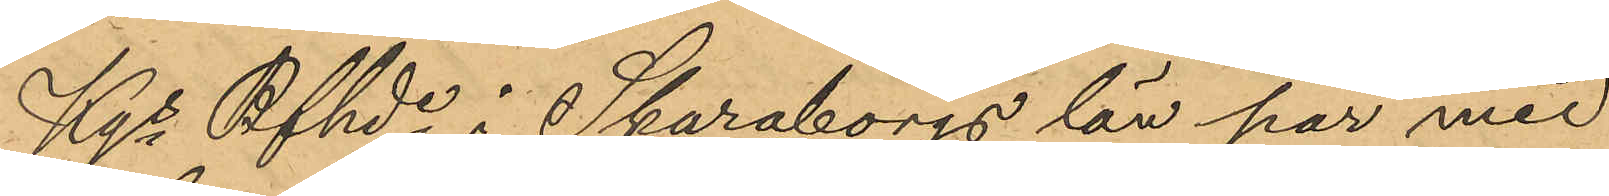Kgs Bfhde i Skaraborgs län har med
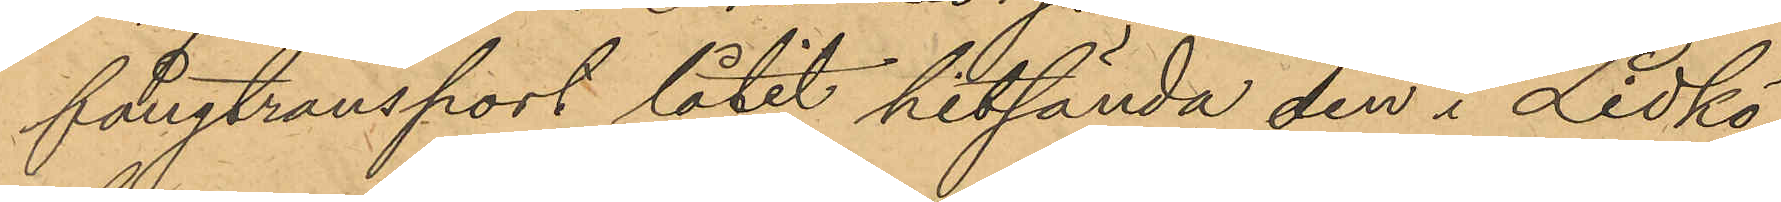fångtransport låtit hitsända den i Lidkö¬
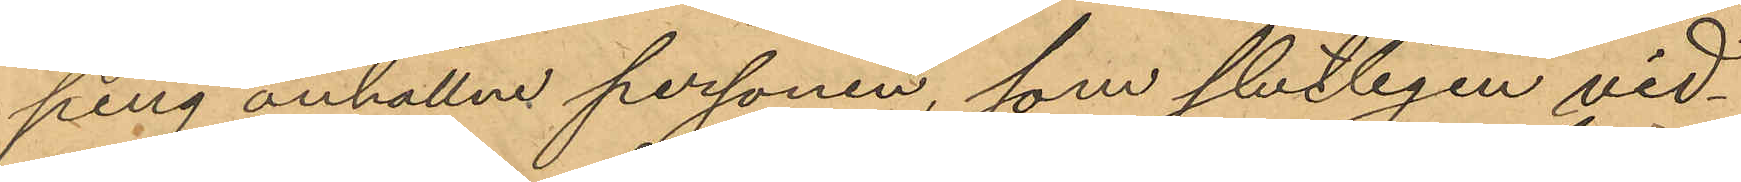ping anhållne personen, som slutligen vid¬
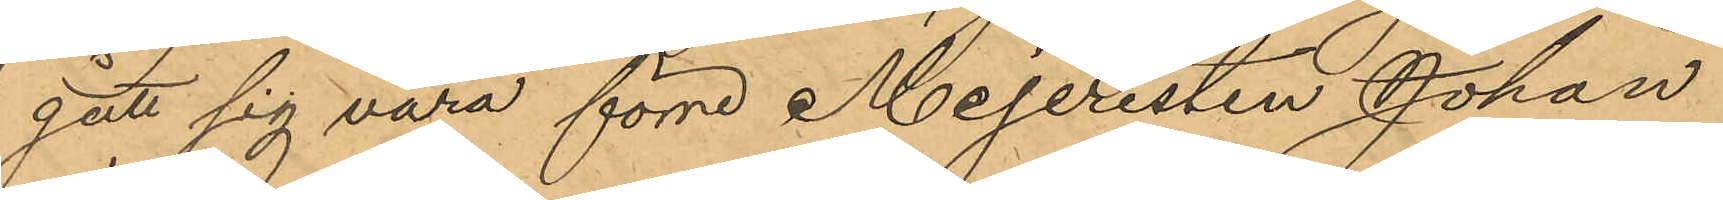gått sig vara förre Mejeristen Johan
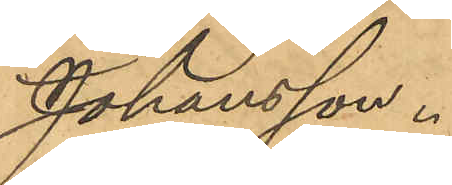Johansson.
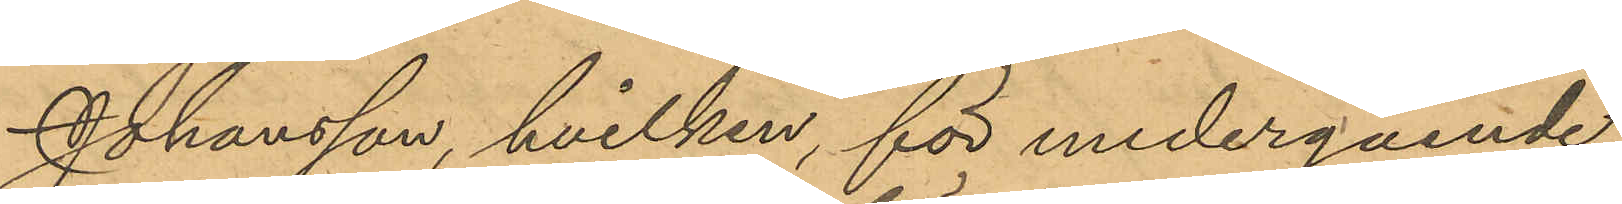Johansson, hvilken, för undergående
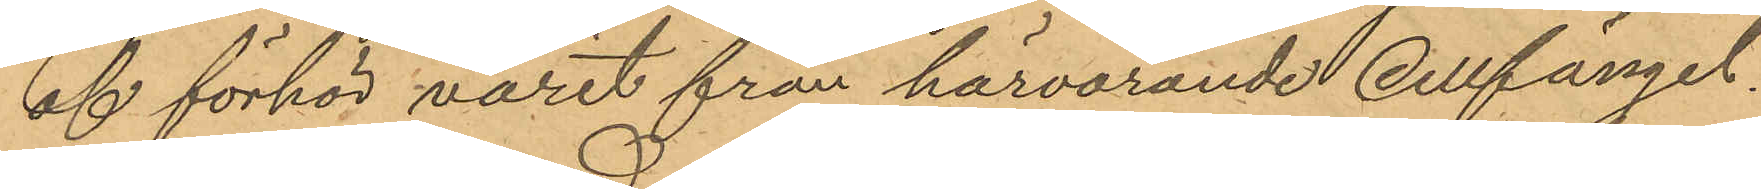af förhör varit från härvarande cellfängel¬
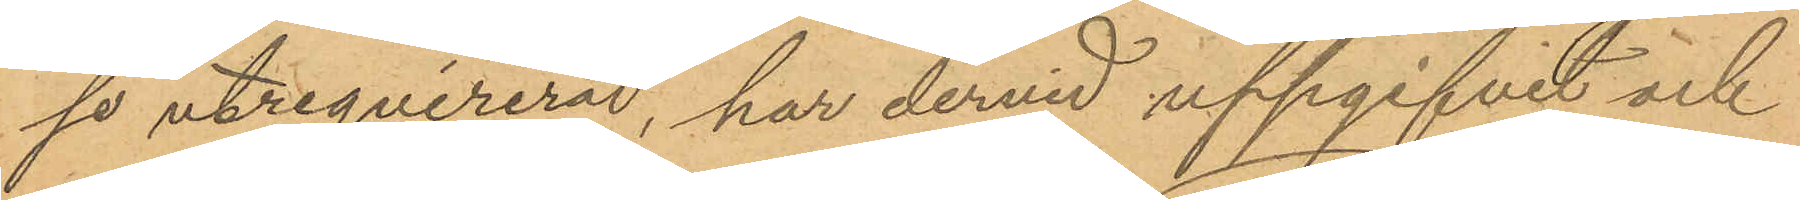se utreqvirerad, har dervid uppgifvit och
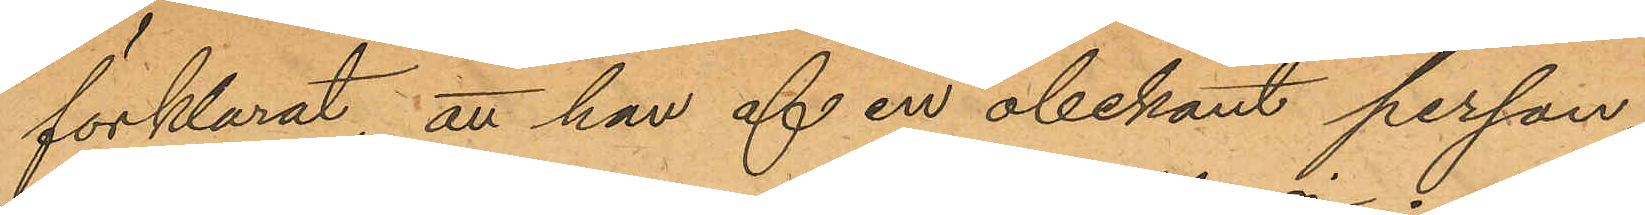förklarat, att han af en obekant person
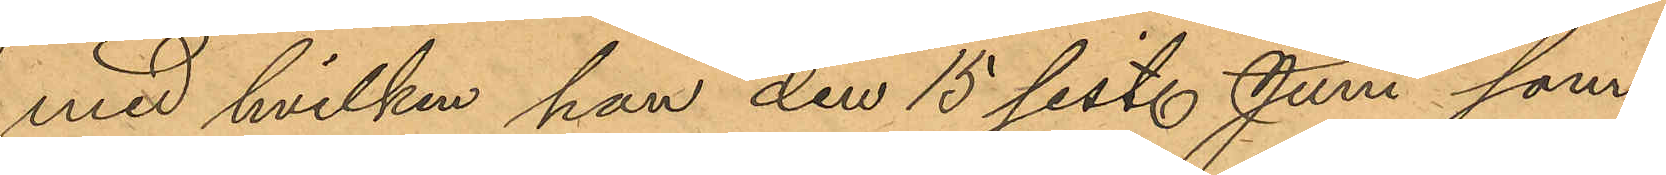med hvilken han den 15 sist. Juni sam¬
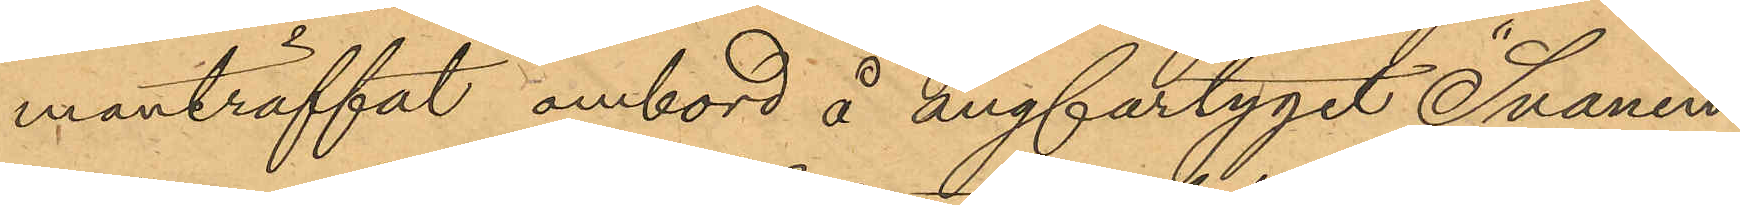manträffat ombord å ångfartyget Svanen
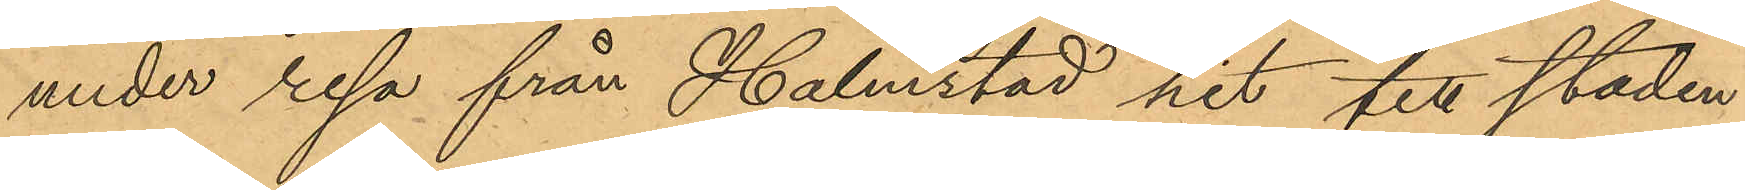under resa från Halmstad hit till staden
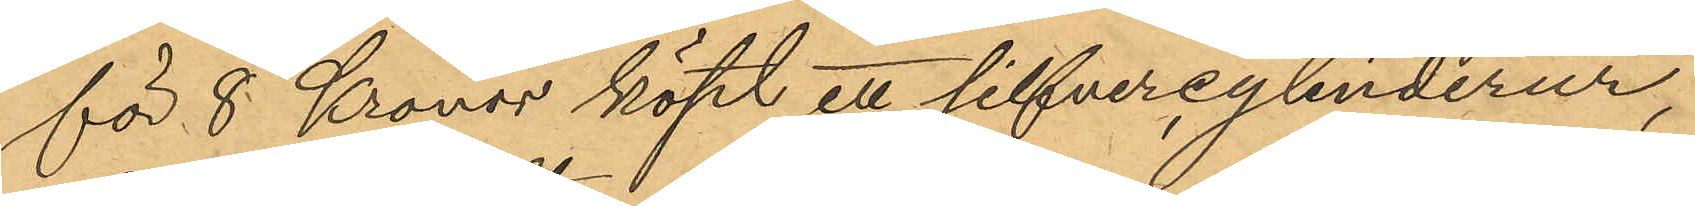för 8 Kronor köpt ett silfvercylinderur,
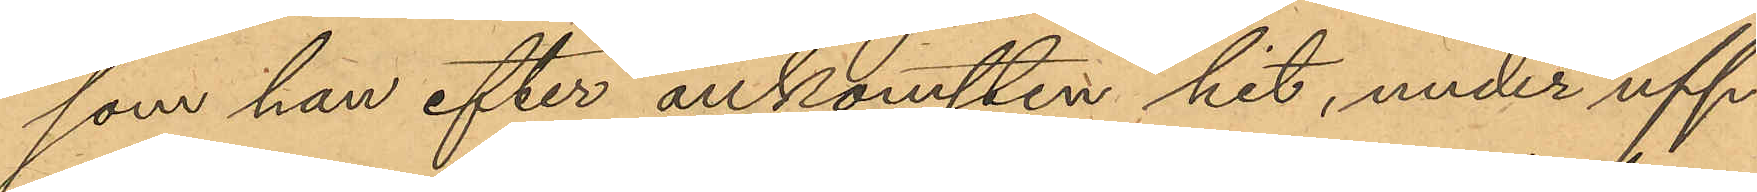som han efter ankomsten hit, under upp¬
